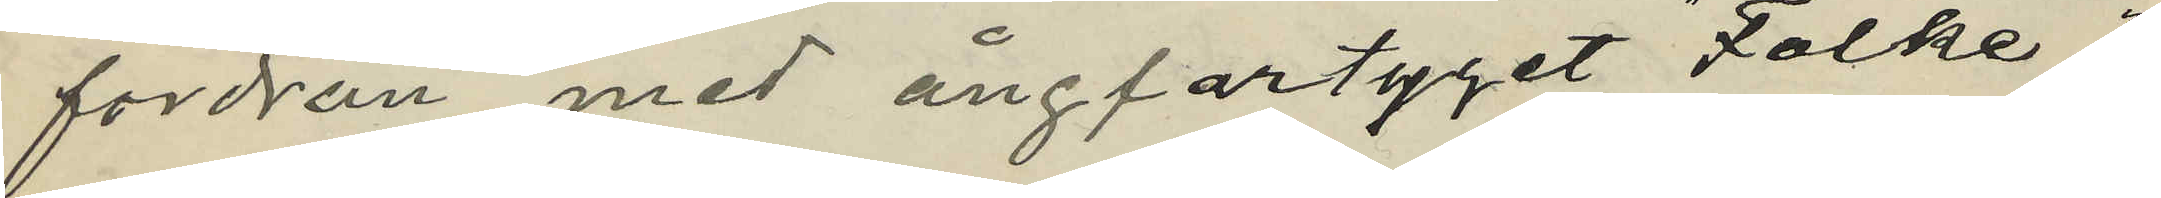fordran med ångfartyget "Folke";
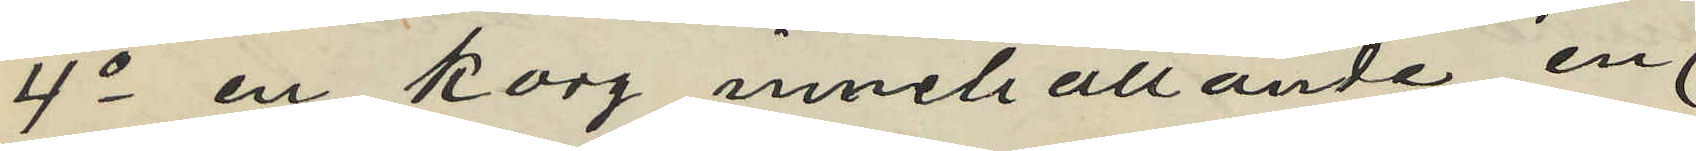4o en korg innehållande en
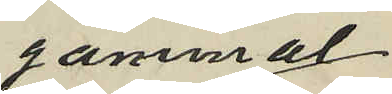gammal
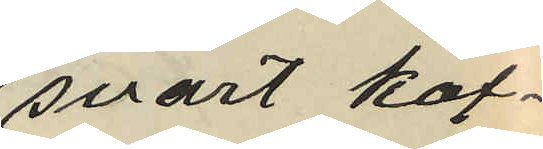svart kof¬
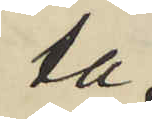ta
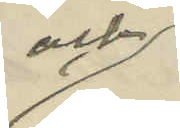och
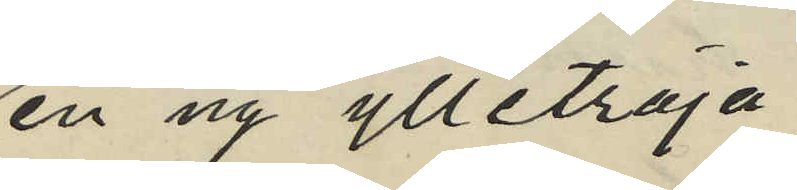en ny ylletröja
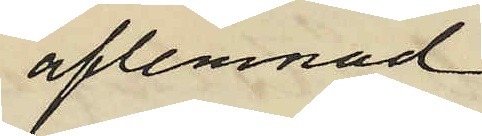aflemnad
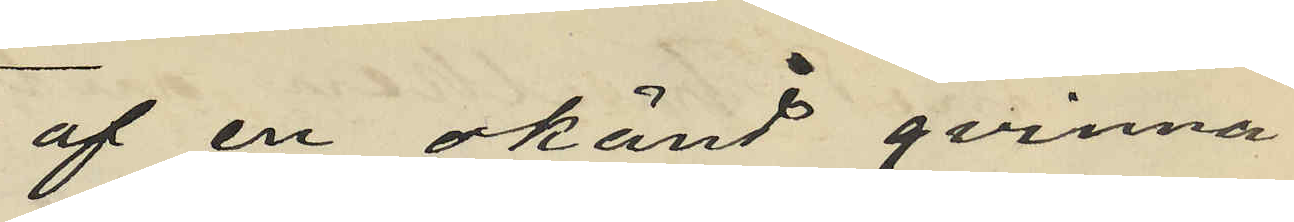af en okänd qvinna
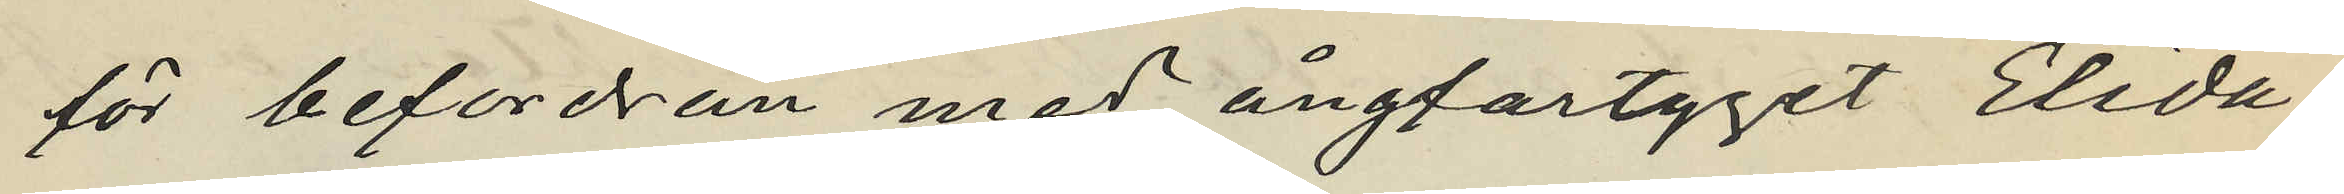för befordran med ångfartyget "Elida"
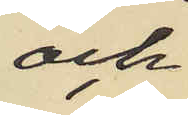och
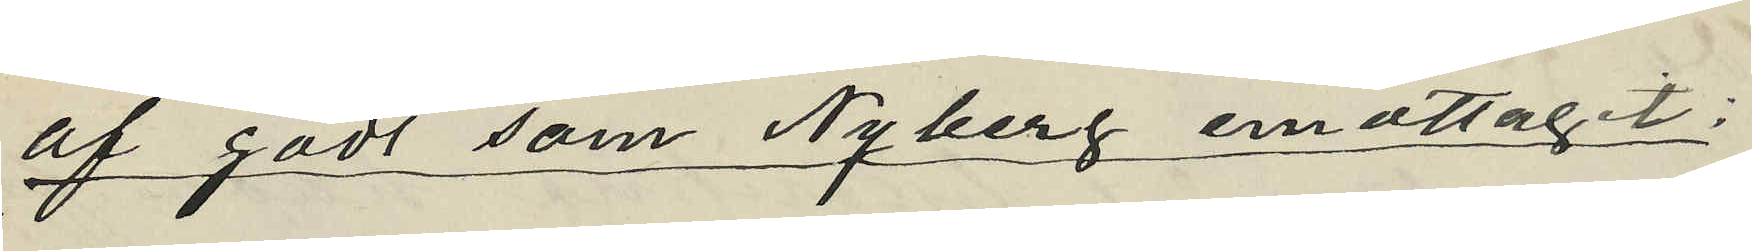af gods som Nyberg emottagit:
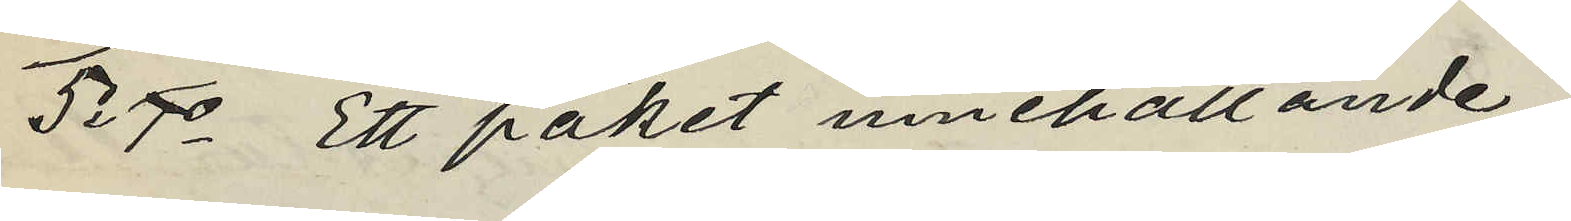5o 7o Ett paket innehållande
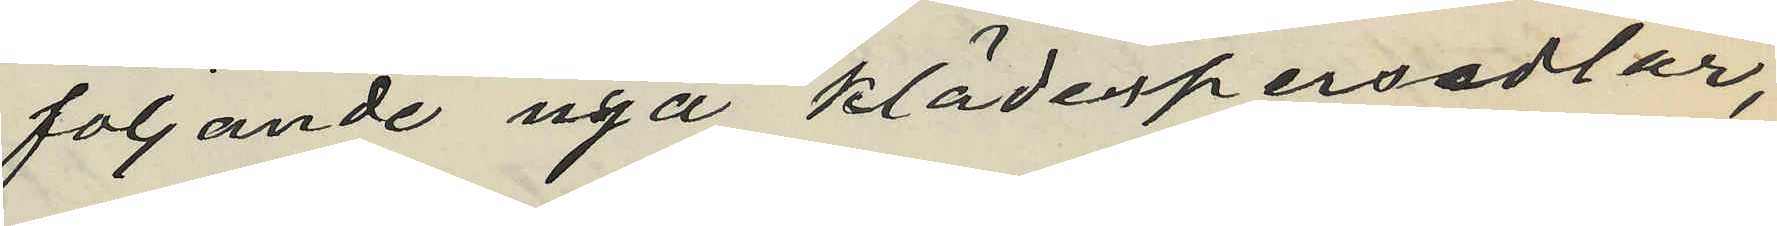följande nya klädespersedlar,
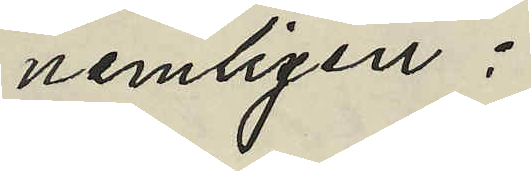nemligen:
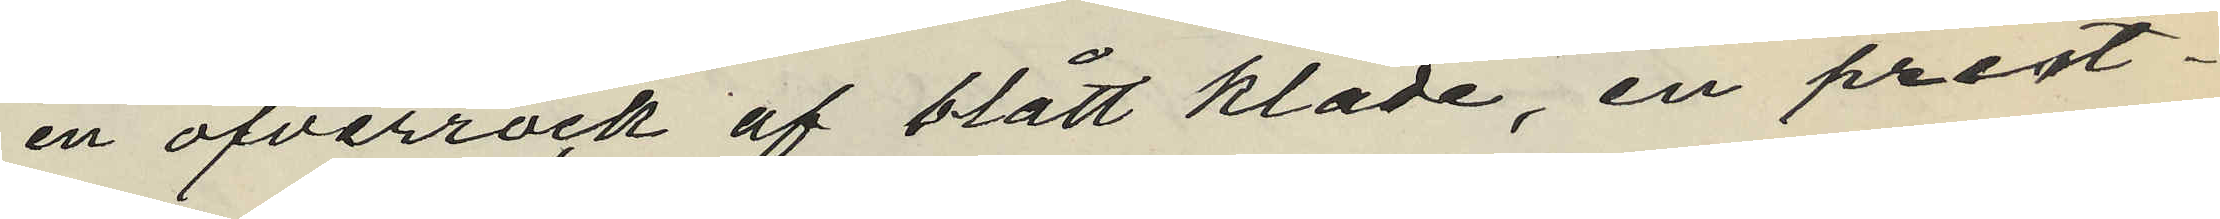en öfverrock af blått kläde, en prest¬
